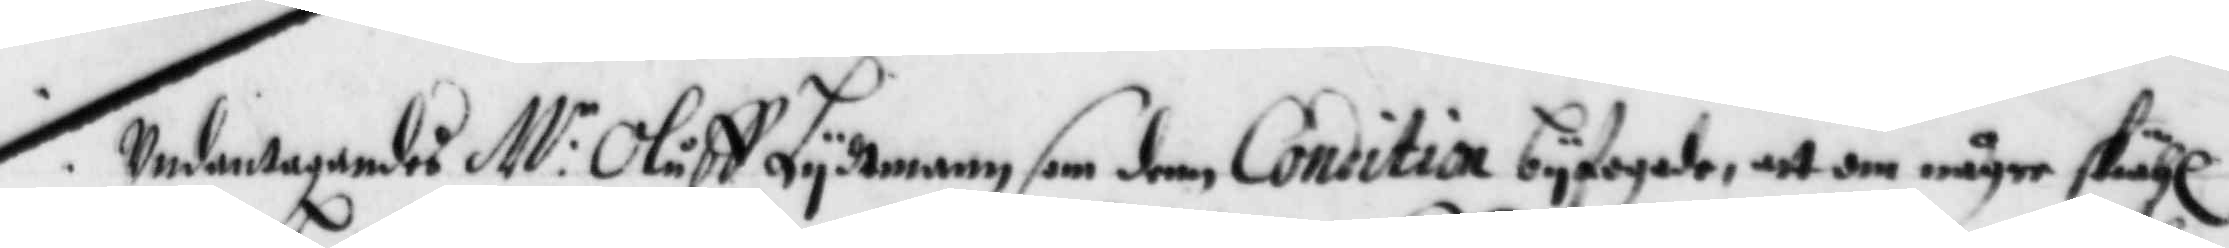Undantagandes M:r Oluff Lydtmann som den Conditia byfogade, att om någre skähl
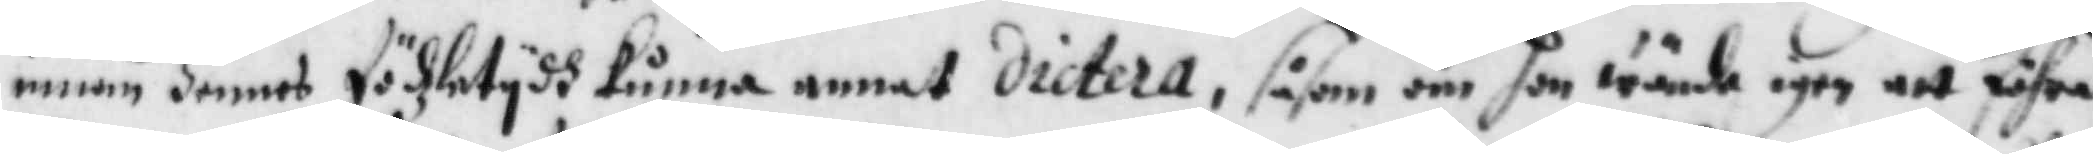innan hennes födzletydh kunna annat dictera, såsom om han wände igen att fihra
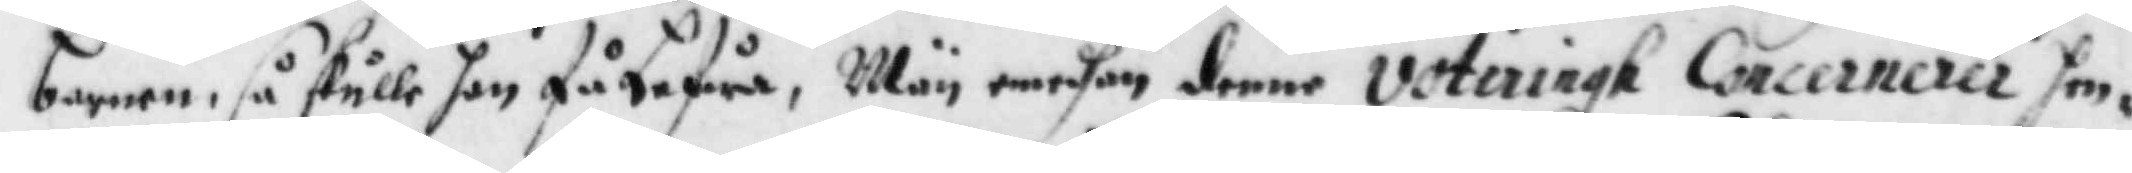barnen, så skulle hon få lefwa, Män emedhan denne voteringh Concernerer hen¬
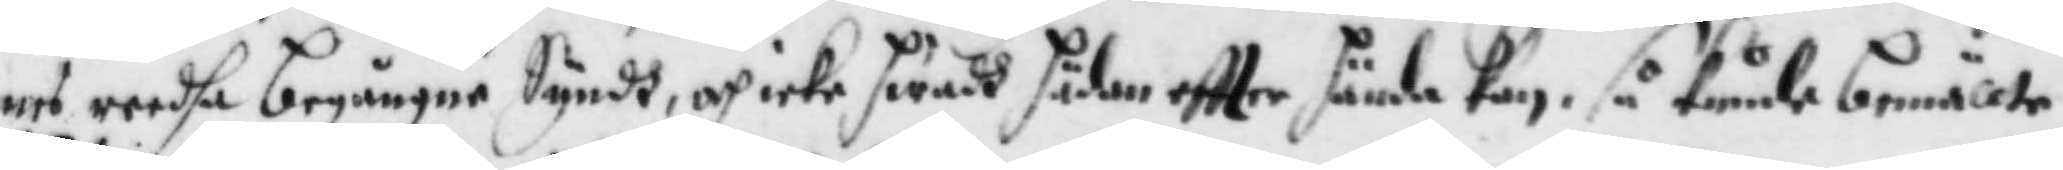nes reedha begångne Syndh, och icke hwadh sädan eftter hända kan, så kunde bemällte
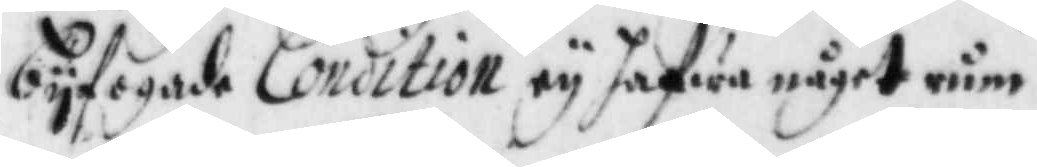byfogade Condition ey hafwa något rum.
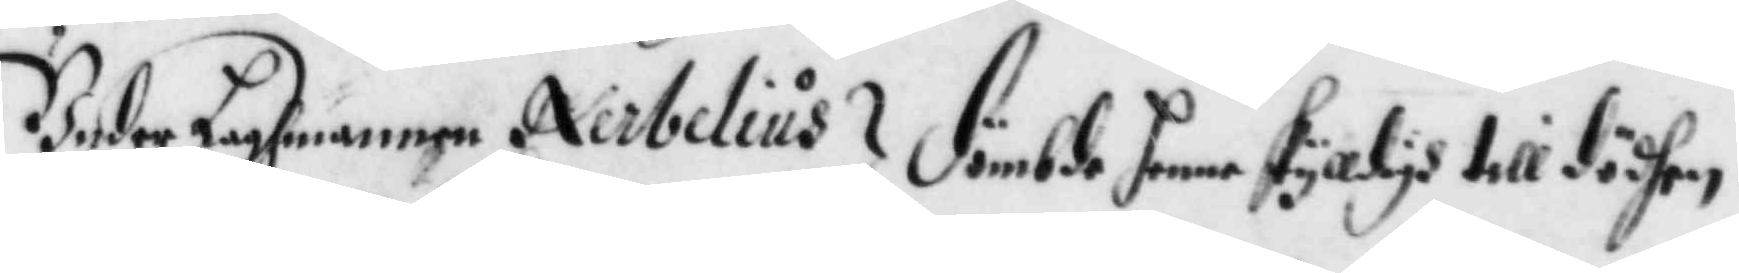Under Laghmannen Nerbelius dömbde henne skäligh till dödhen.
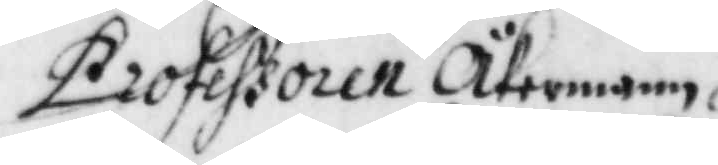Professoren Återmann.
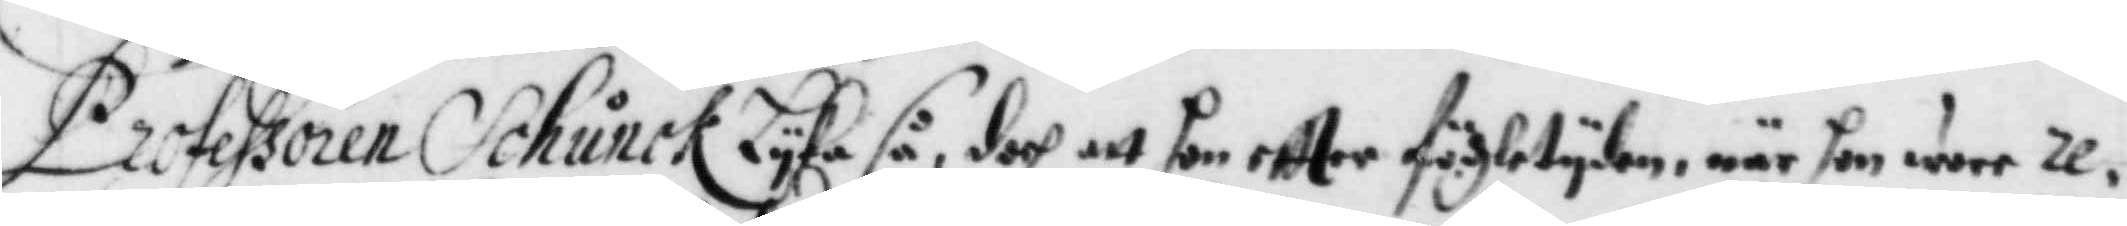Professoren Schunck Lyka så, doch att hon eftter födzletyden, när hon wore re¬
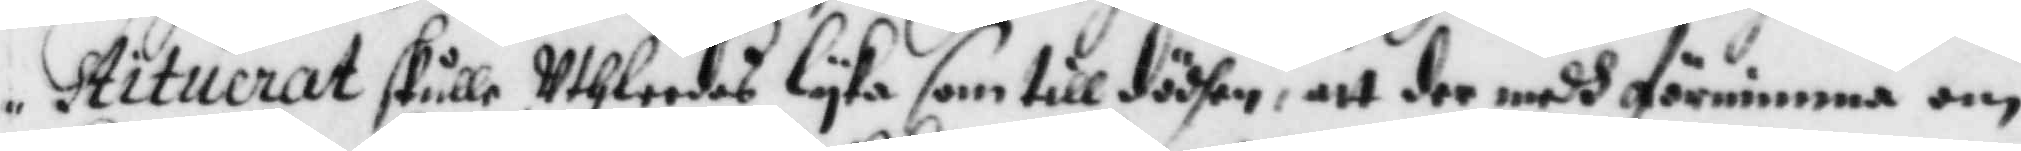stituerat skulle Uthleedas Lyka som till dödhen, att der medh förnimma om
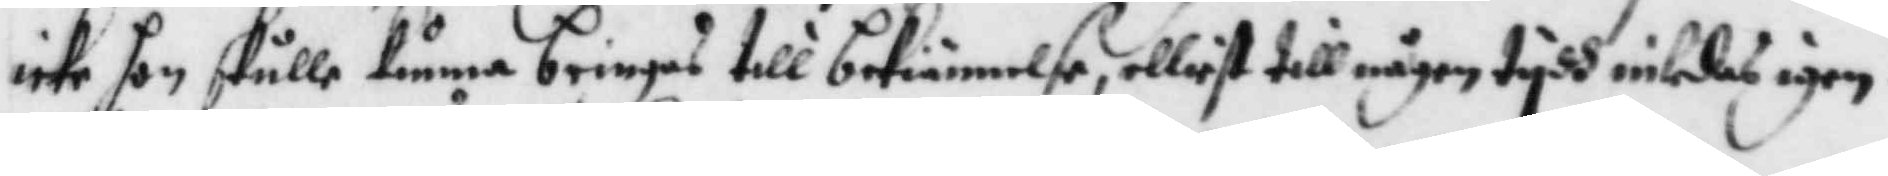icke hon skulle kunna bringas till bekiännelse, elliest till någon tydh inledas igen.
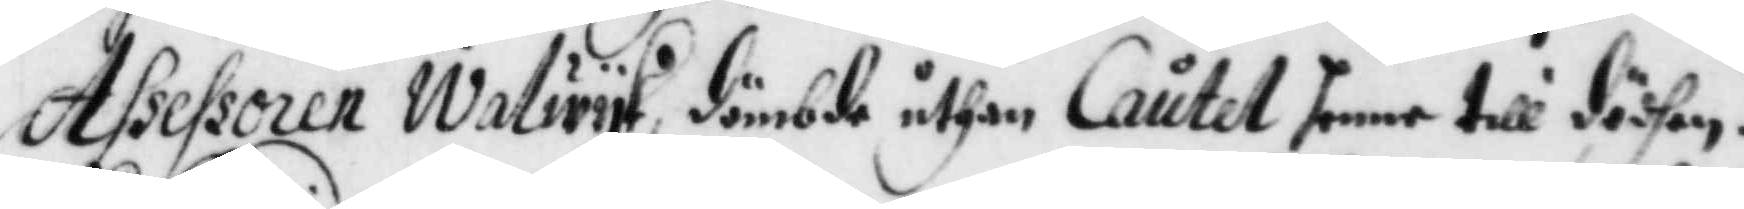Assessoren Walwyk dömbde uthan Cautet henne till dödhen.
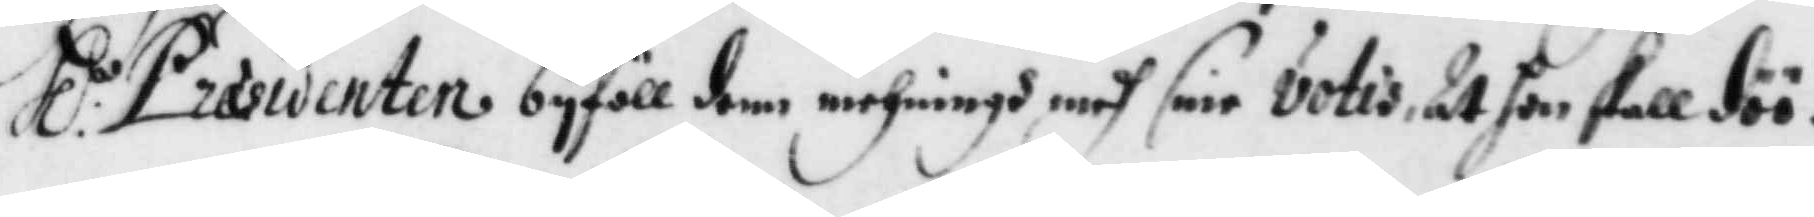Hl:r Præsidenten byföll denn mehningh medh sine votis At hon sakll döö.
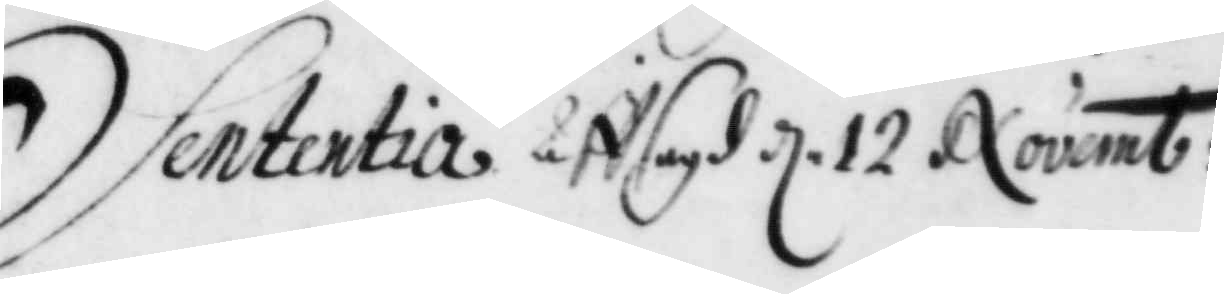Sententia Afflagd d. 12 Novemb:
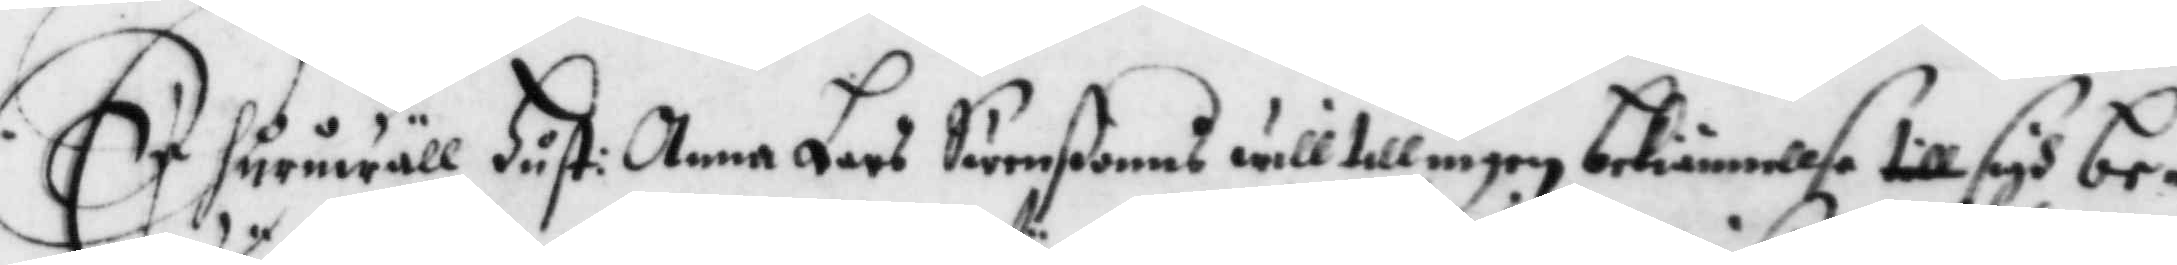Er huruwäll Hust: Anna Lars Swenßonns will till ingen bekiännelse till sigh be¬
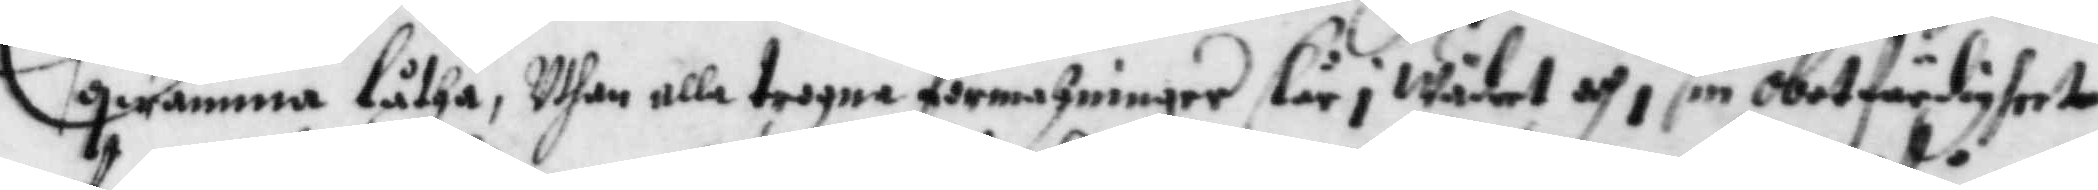qwämma låtha, Uthan alla trogna förmahningar slår i wädret och i sin obotfärdigheet
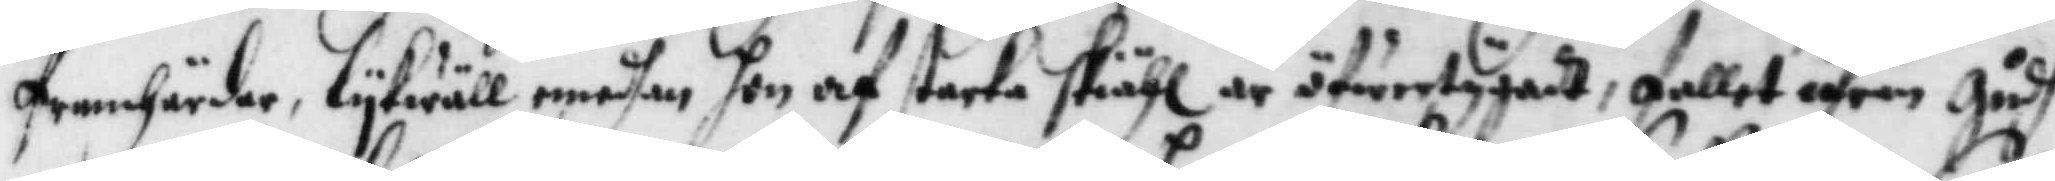framhärda,lykwäll emedhan hon af starka skiähl är öfwertygadt, fallet ifrån Gudh
